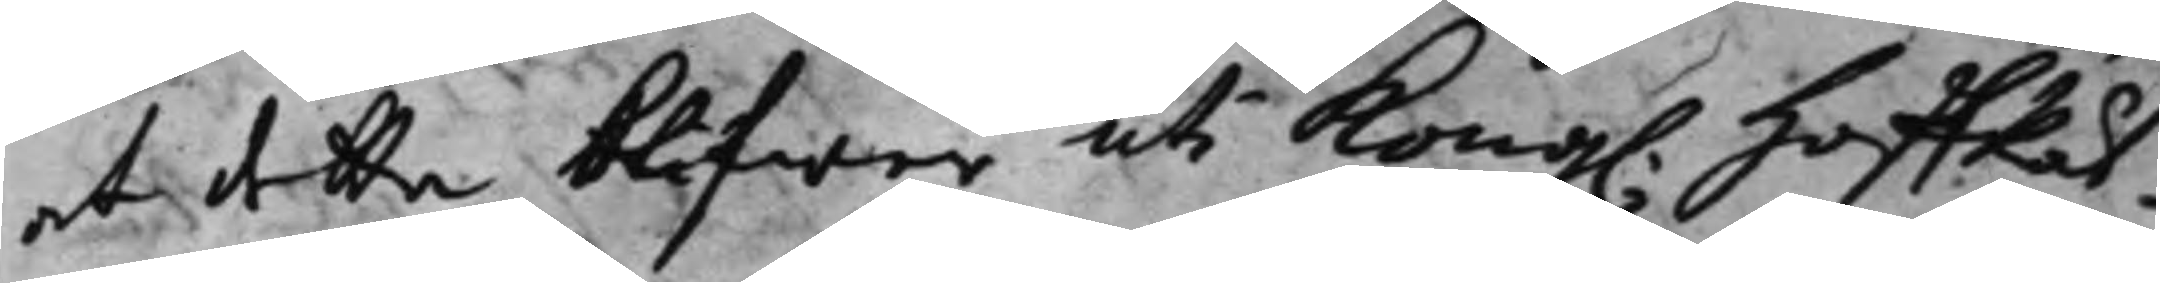at detta blifwer uti Kong. HoffRät¬ 
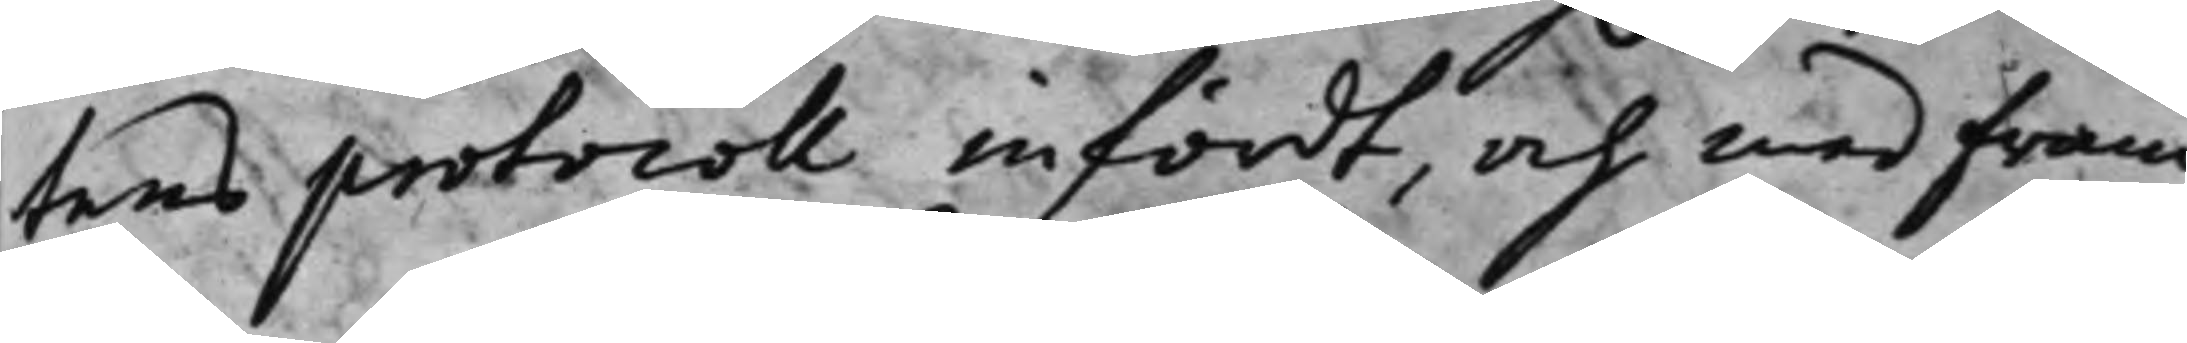tens protocoll infördt, och med fram¬
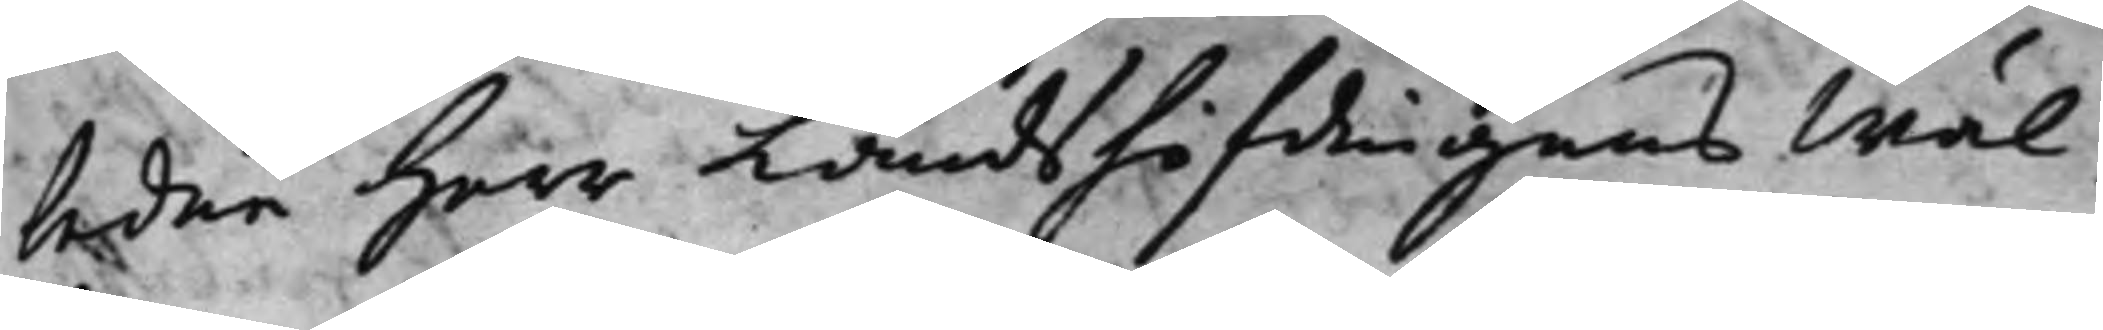ledne Herr Landshöfdingens Wäl¬
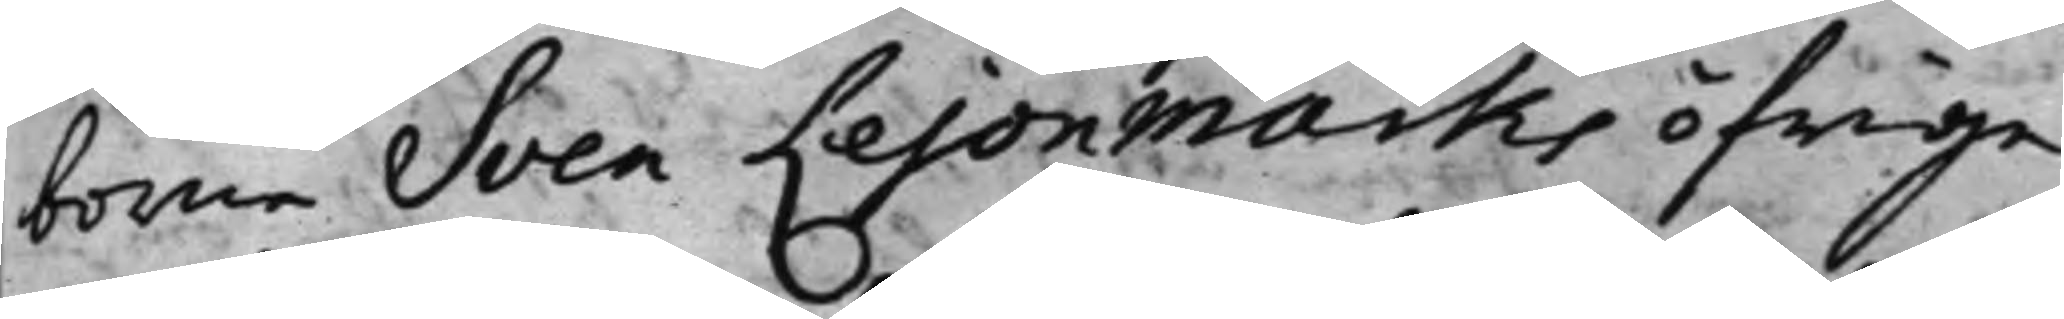borne Sven Lejonmarks öfrige
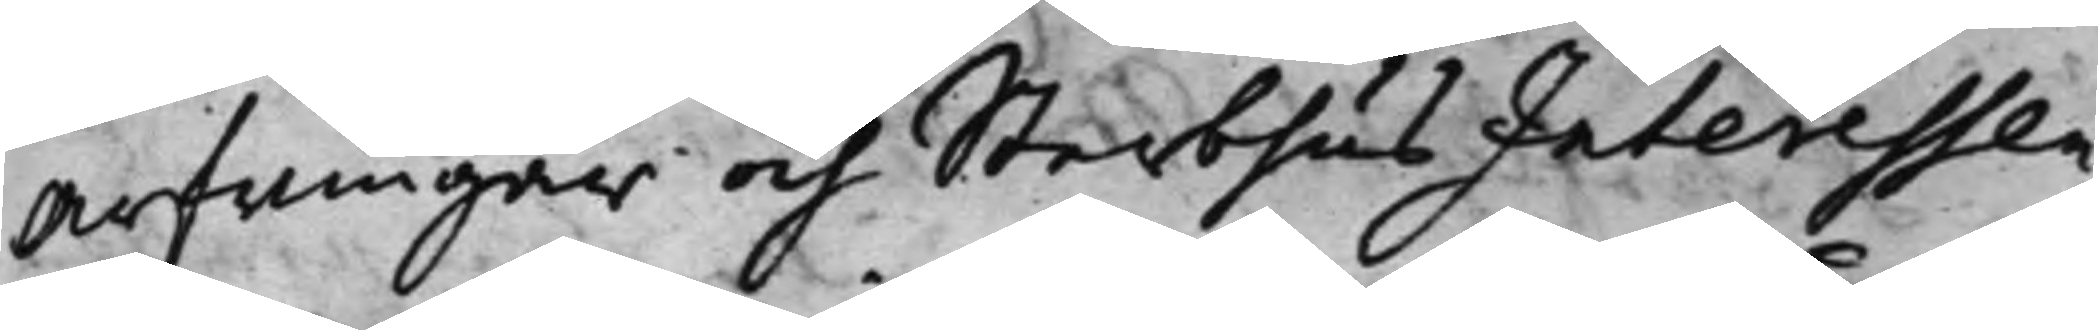Arfwingar och Sterbhus Interessen¬
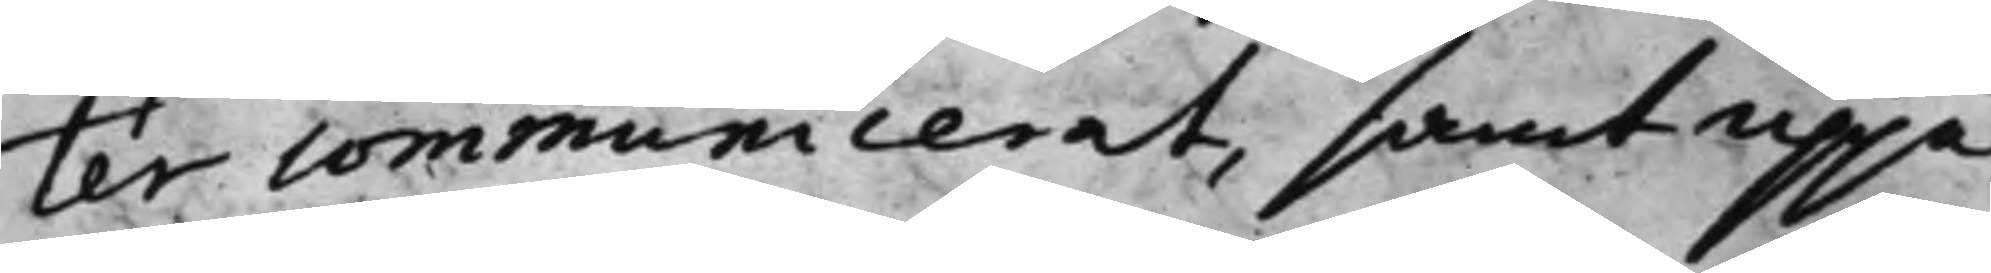ter communicerat, samt uppå
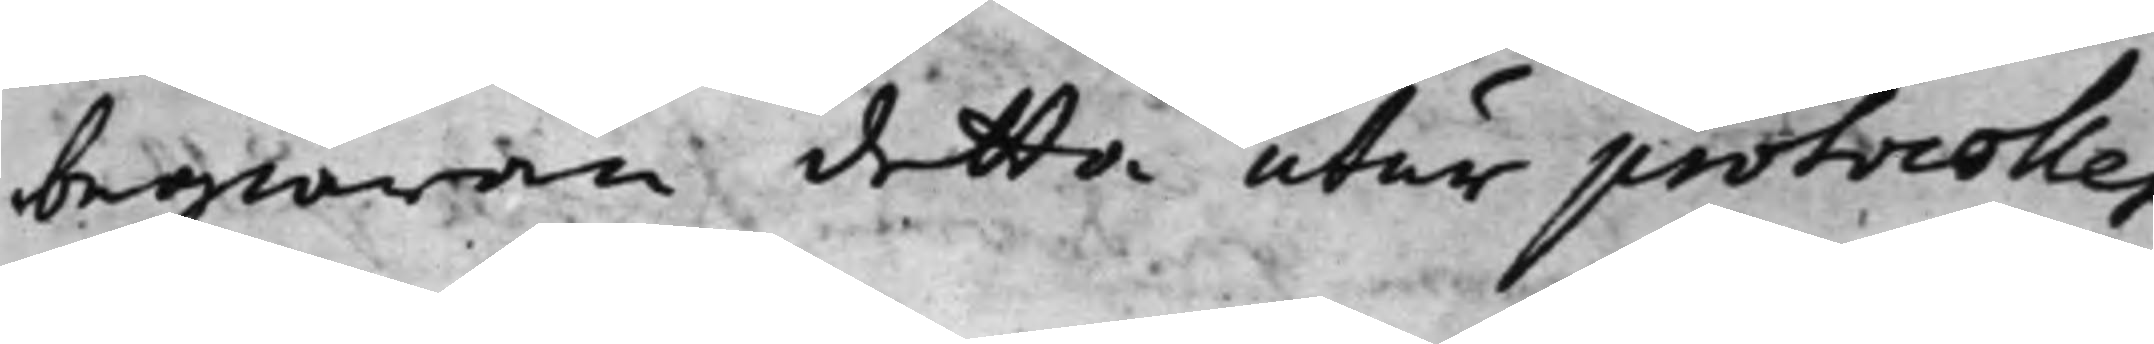begiäran detta utur protocollet
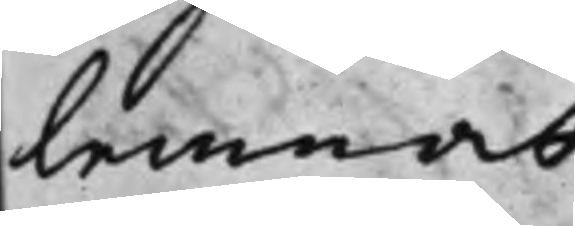lemnat.
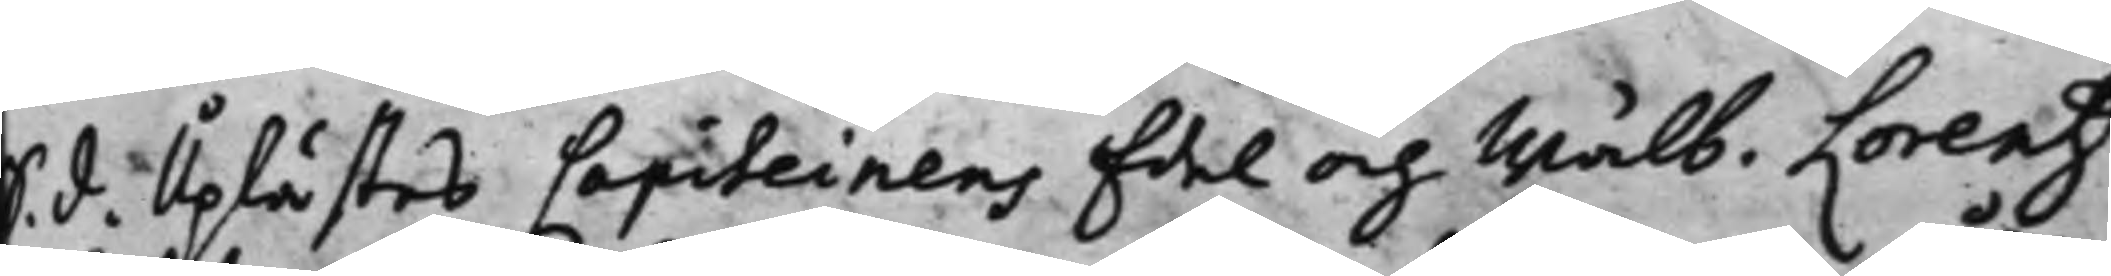S. d. Uplästes Capiteinens Edel och Wälb. Lorentz
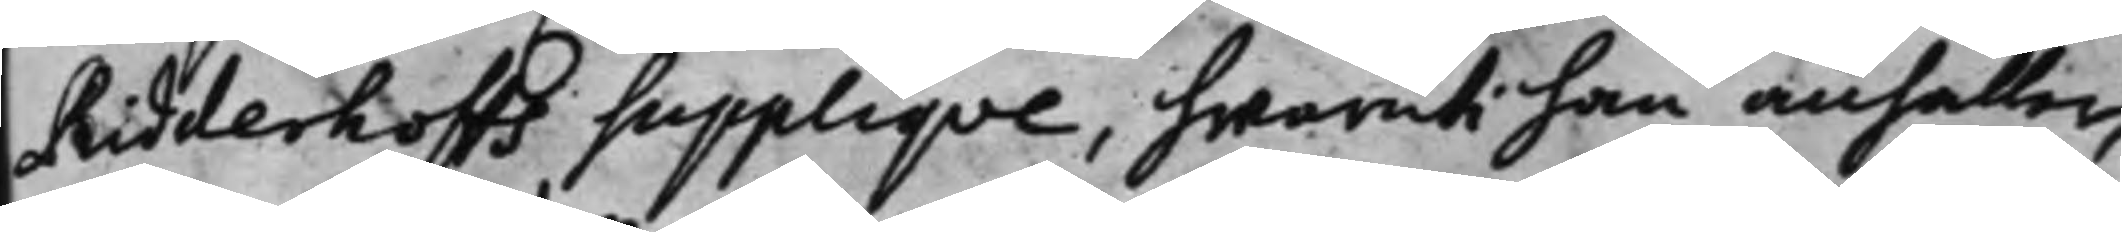Ridderhoffs Suppliqve, hwaruti han anhåller,
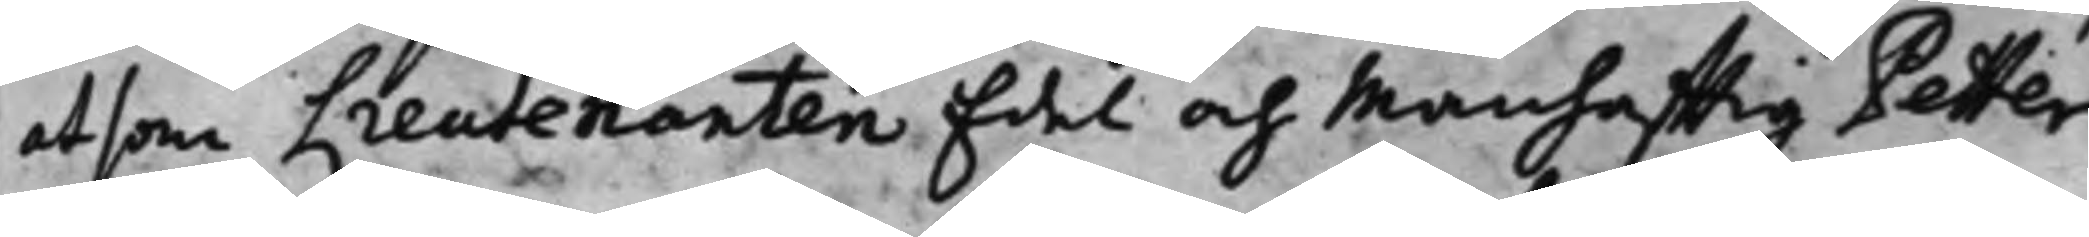at som Lieutenanten Edel och Manhafftig Petter
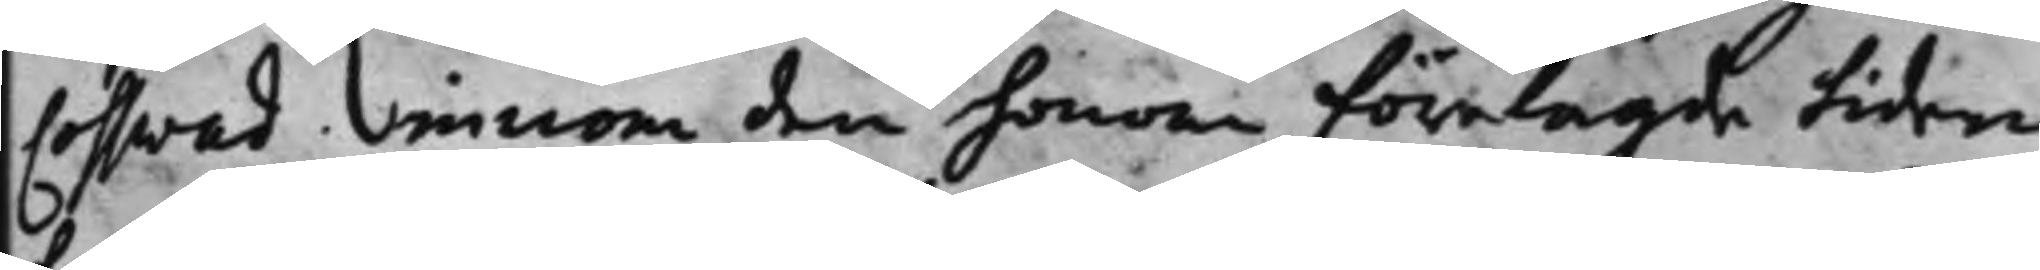Cosswad, innom den honom förelagde tiden
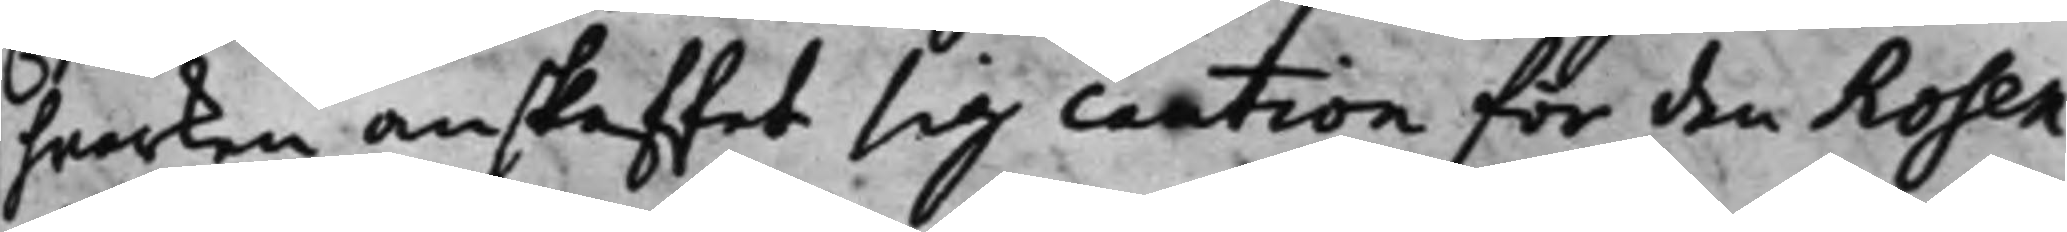hwarken anskaffat sig caution för den Rosen¬
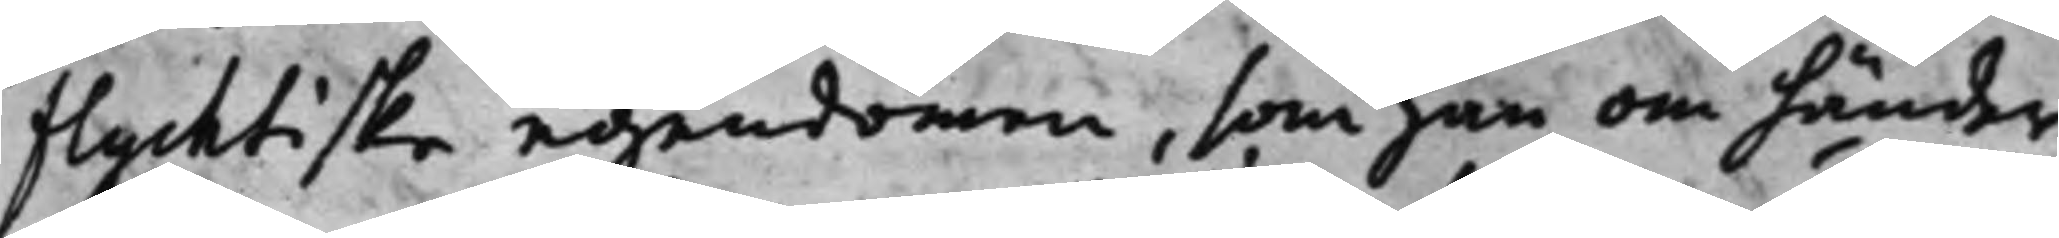flychtiske egendomen, som han om händer
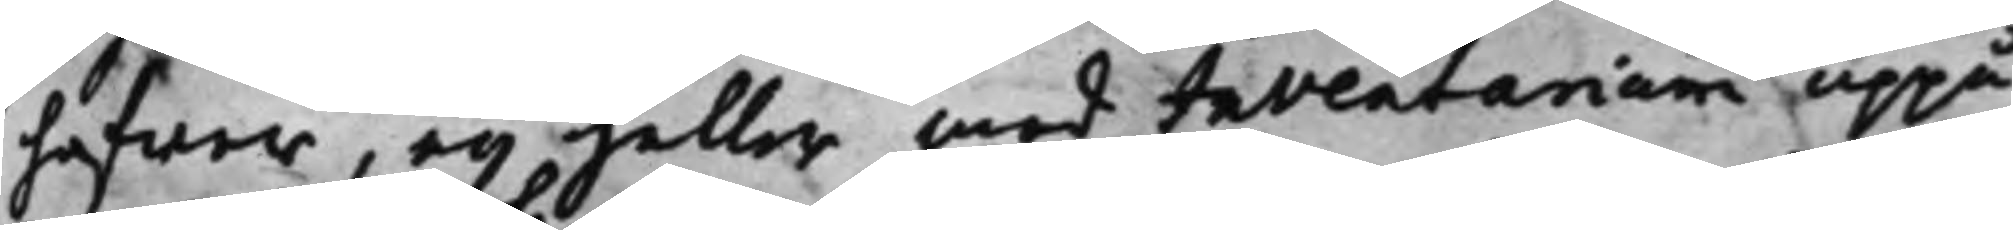hafwer, ey heller med Inventarium uppå
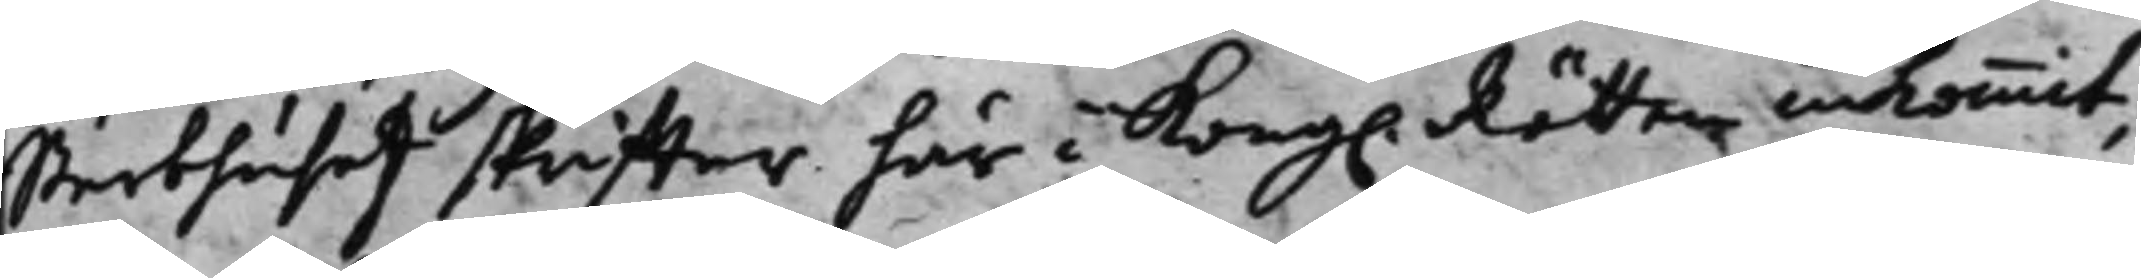Sterbhuset skriffter här i Kong. Rätten inkommit;
